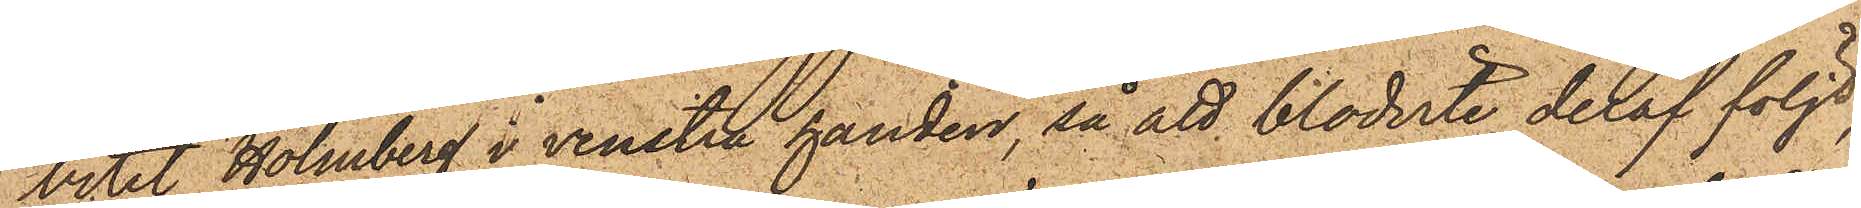bitit Holmberg i venstra handen, så att blodvite deraf följt,
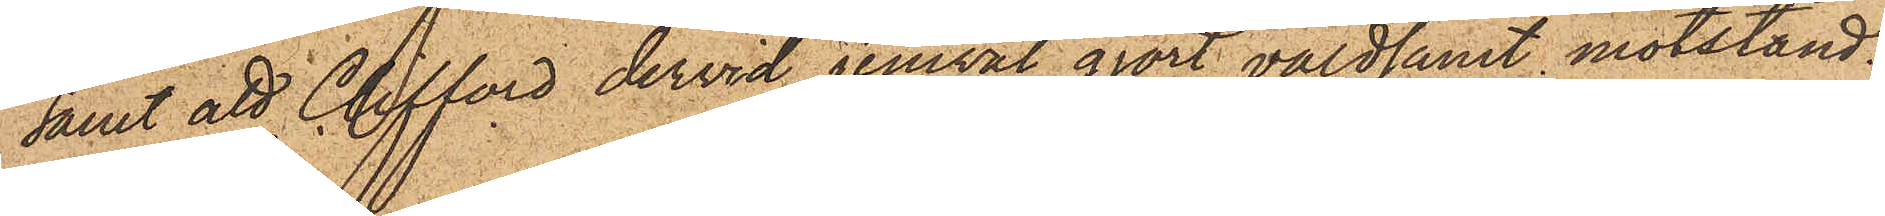samt att Clifford dervid jemväl gjort våldsamt motstånd.
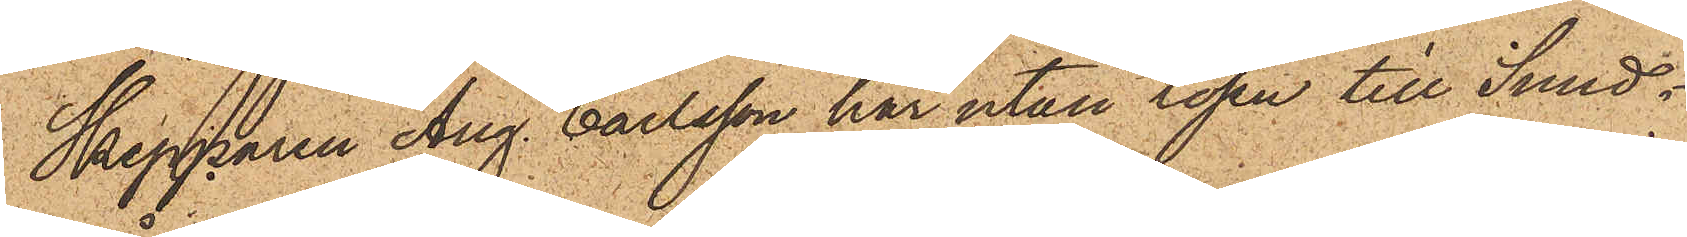Skepparen Aug. Carlsson har utan lösen till Sund¬
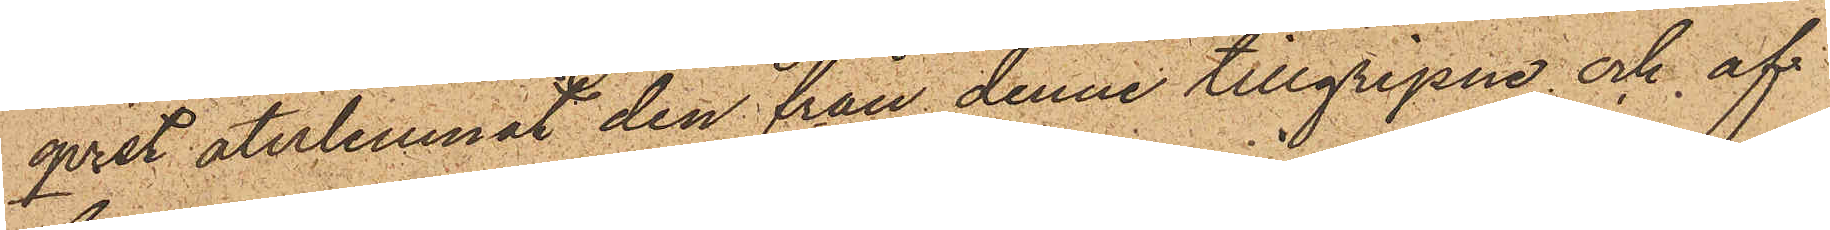qvist återlemnat den från denne tillgripne och af
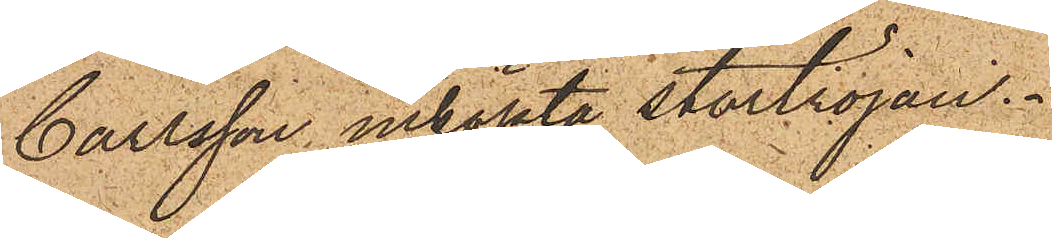Carlsson inköpta stortröjan.
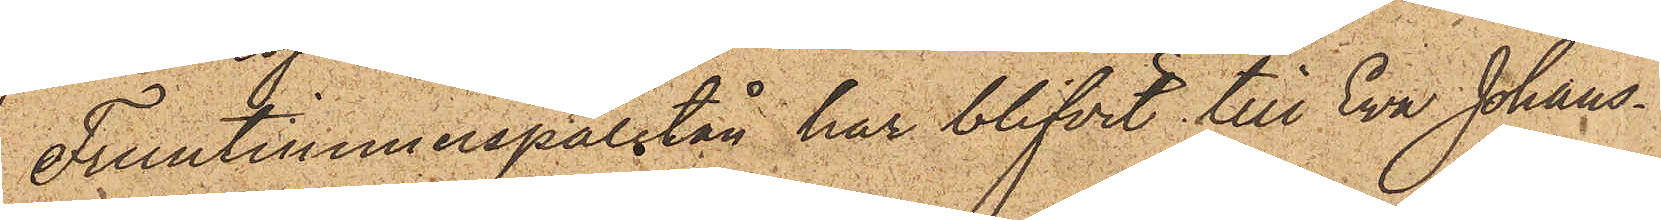Fruntimmerspaletån har blifvit till Eva Johans¬
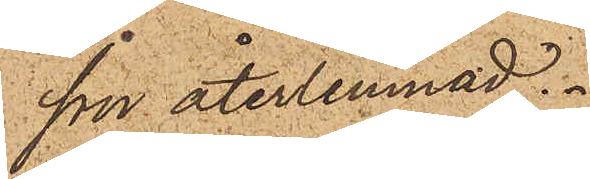son återlemnad.
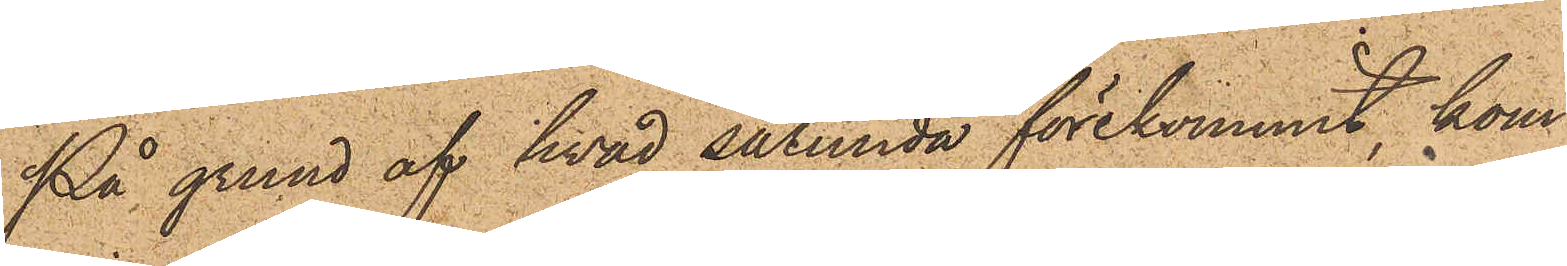På grund af hvad sålunda förekommit, kom¬
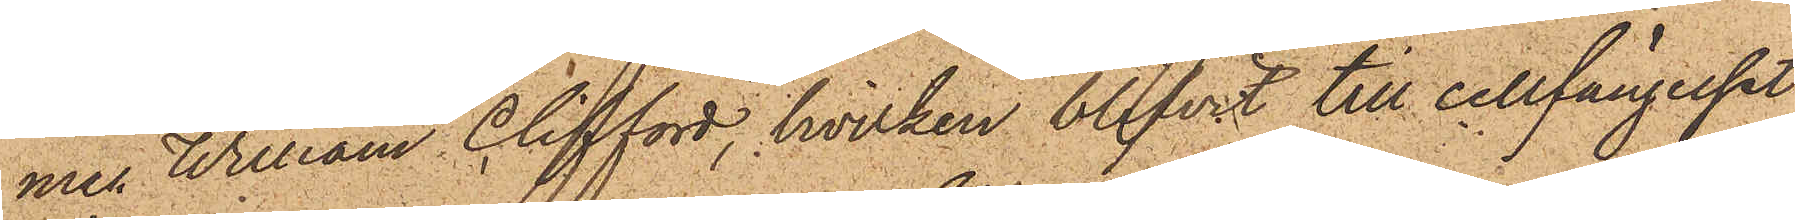men William Clifford, hvilken blifvit till cellfängelset
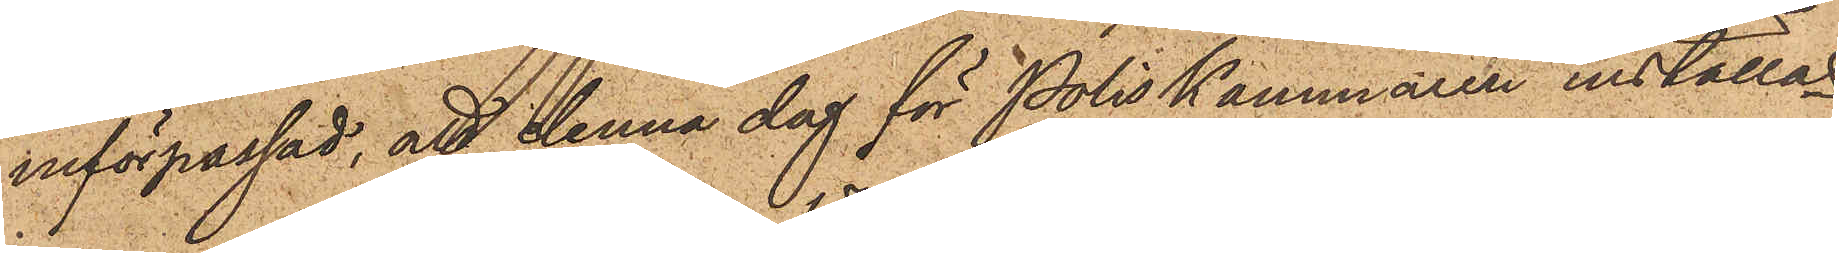införpassad, att denna dag för Poliskammaren inställas.
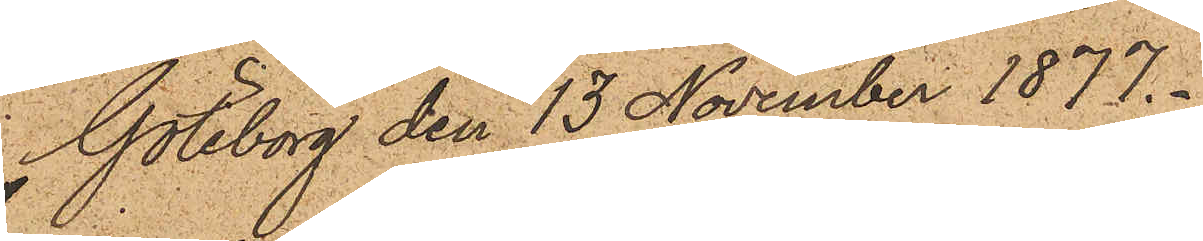Göteborg den 13 November 1877.
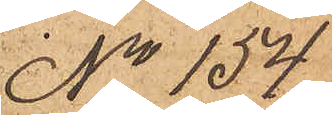No 154
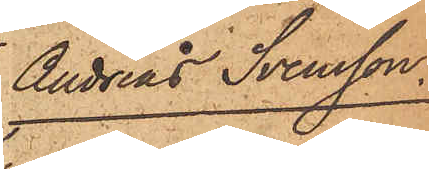Andreas Svensson.
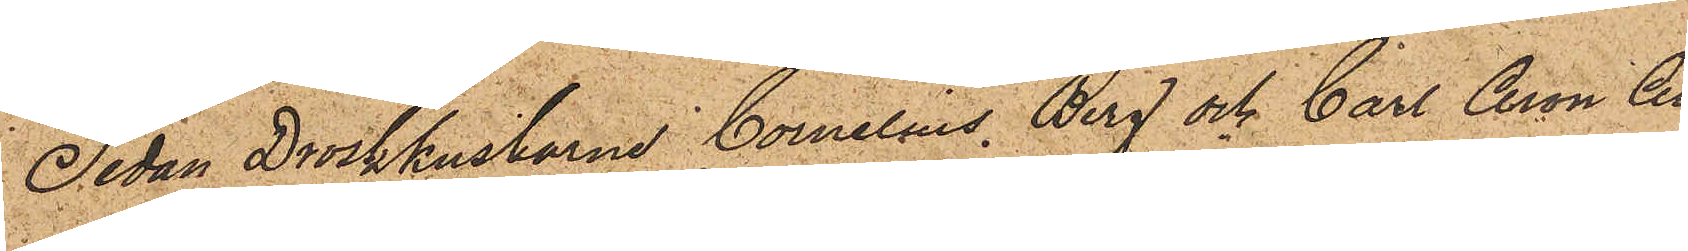Sedan Droskkuskarne Cornelius Berg och Carl Aron An¬
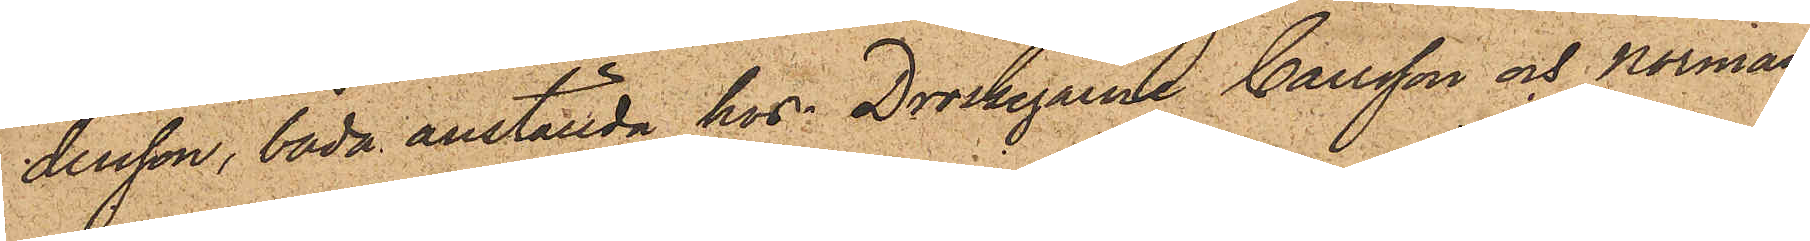dersson, båda anställda hos Droskegarne Carlsson och Norman,
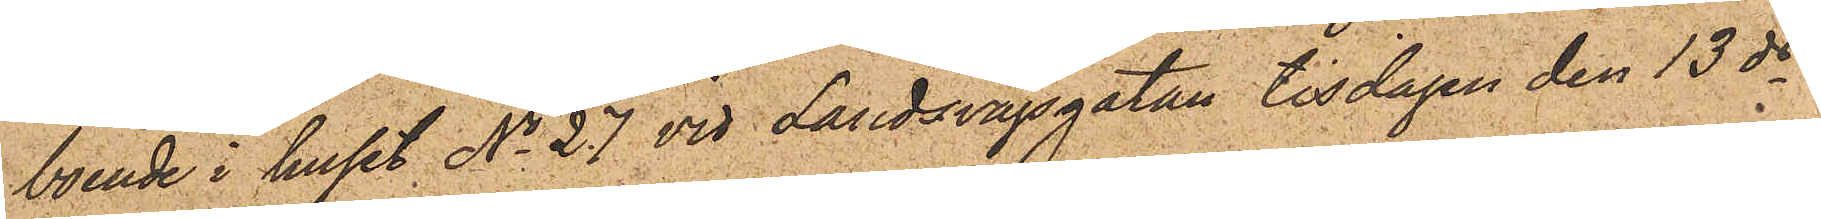boende i huset No 27 vid Landsvägsgatan tisdagen den 13 ds
